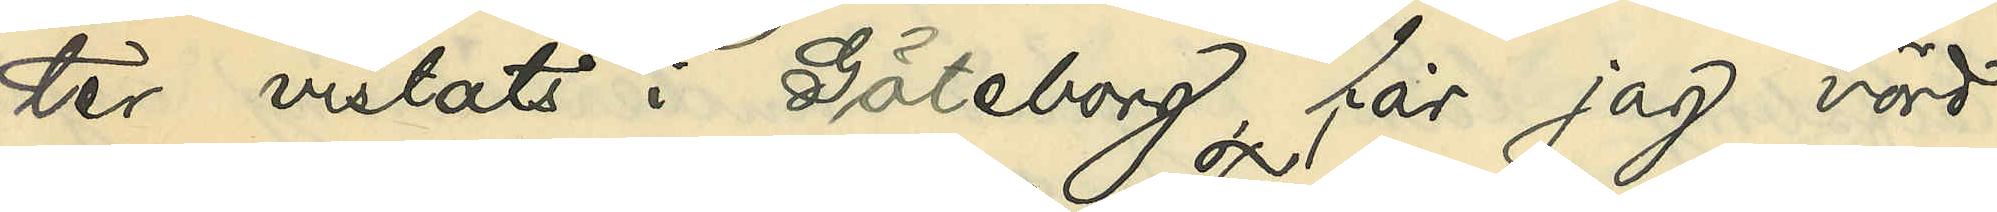ter vistats i Göteborg, får jag vörd¬
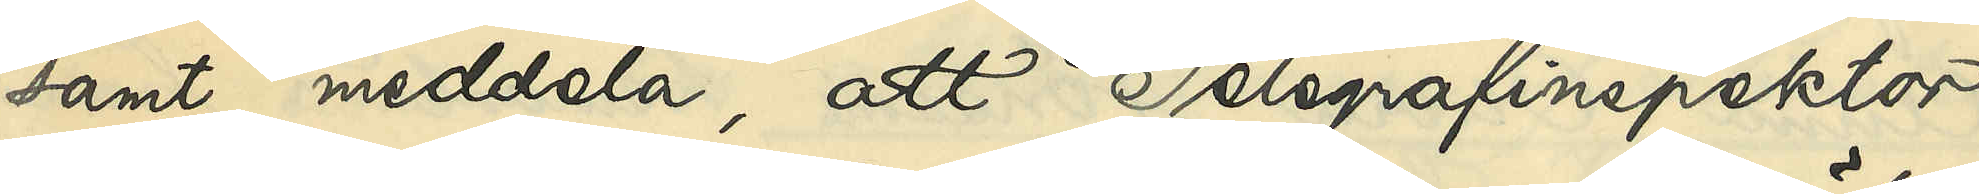samt meddela, att Telegrafinspektor
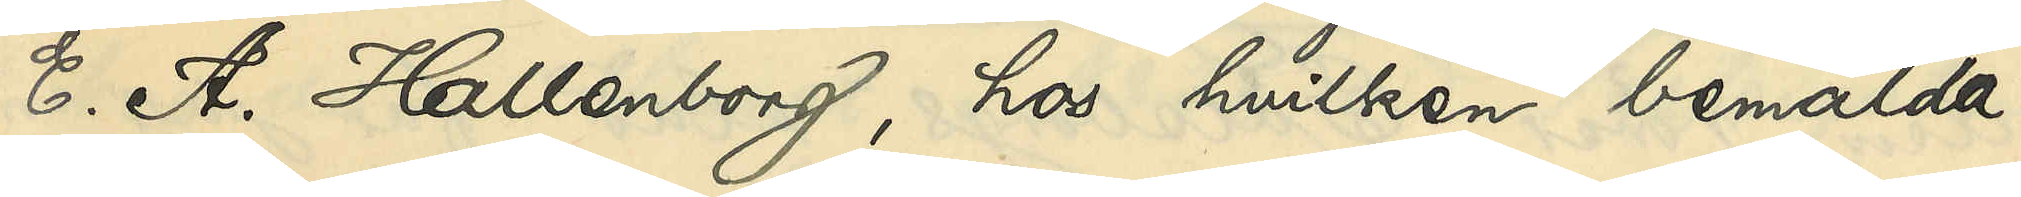E. A. Hallenborg, hos hvilken bemälda
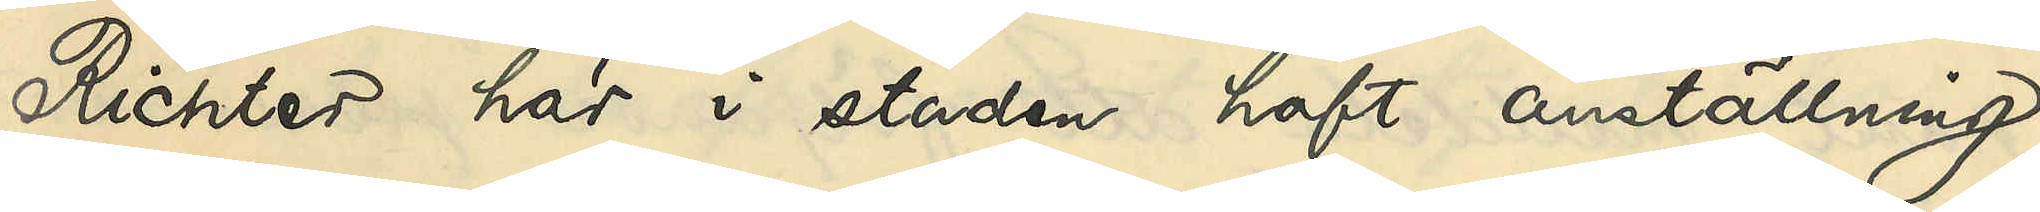Richter här i staden haft anställning
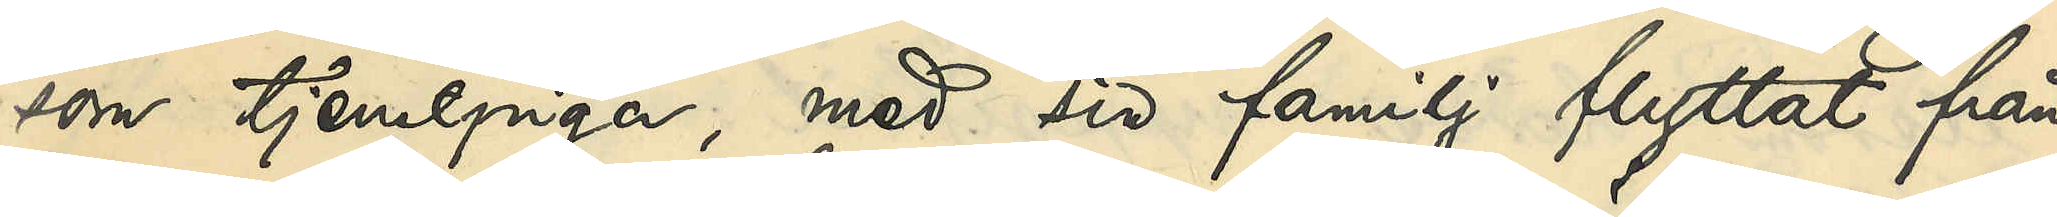som tjenstepiga, med sin familj flyttat från
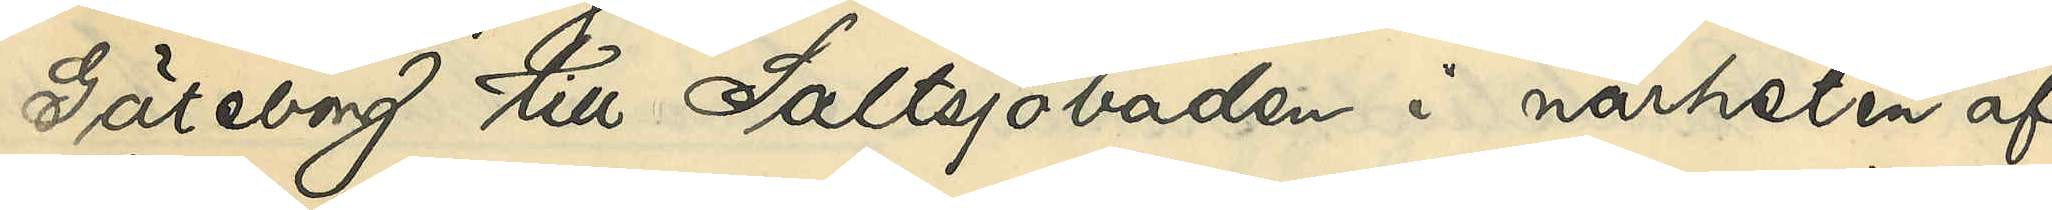Göteborg till Saltsjöbaden i närheten af
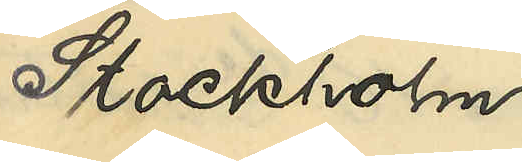Stockholm
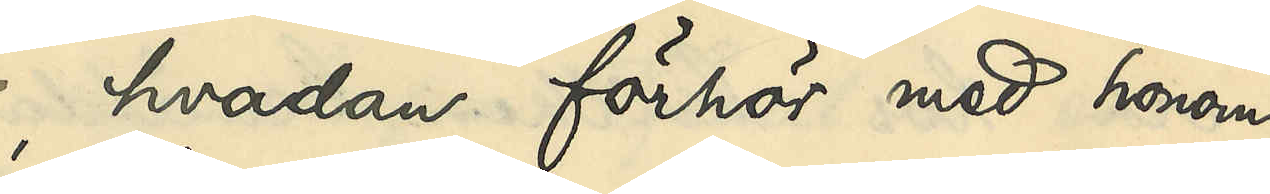, hvadan förhör med honom
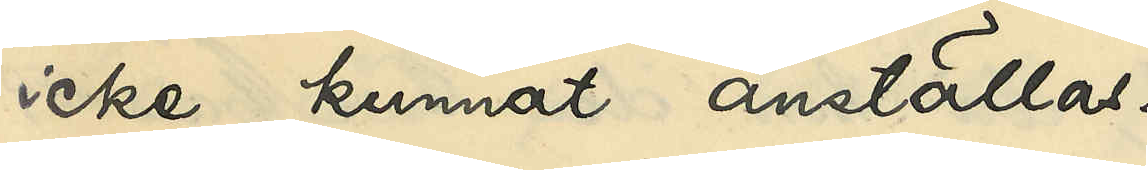icke kunnat anställas.
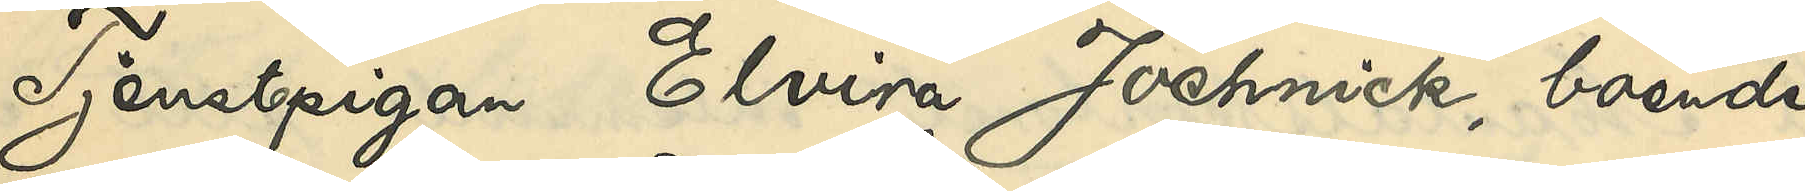Tjenstepigan Elvira Jochnick, boende
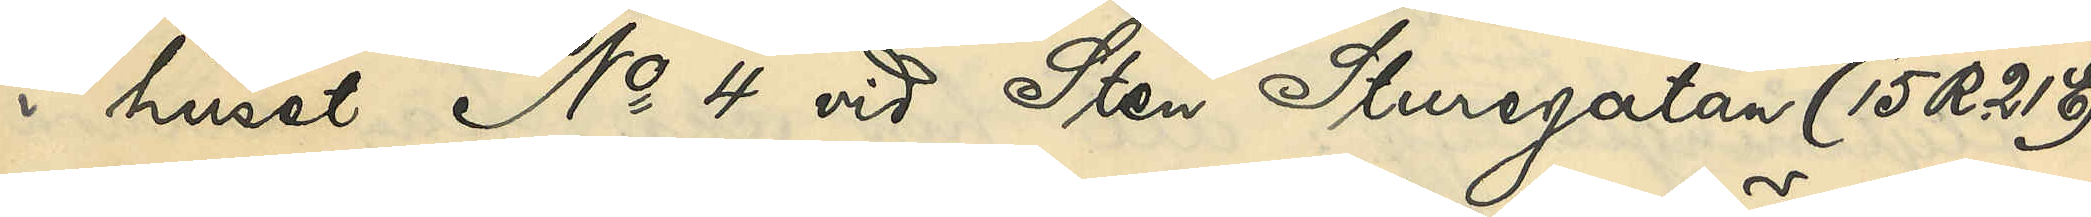i huset No 4 vid Sten Sturegatan (15 R. 21E)
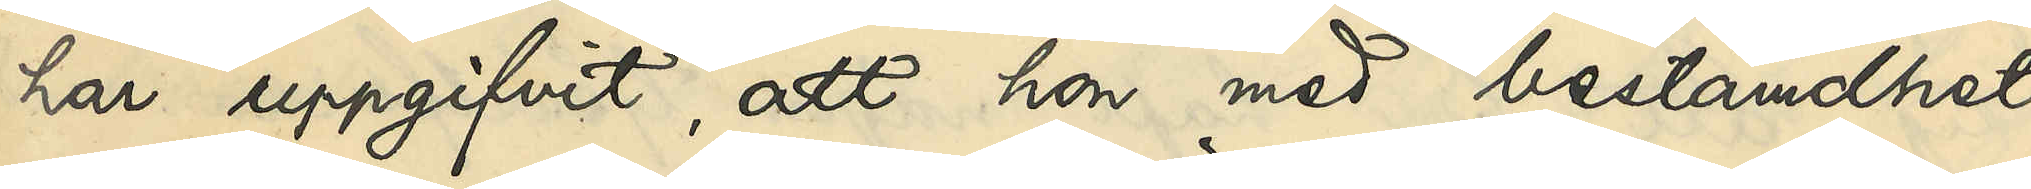har uppgifvit, att hon med bestämdhet
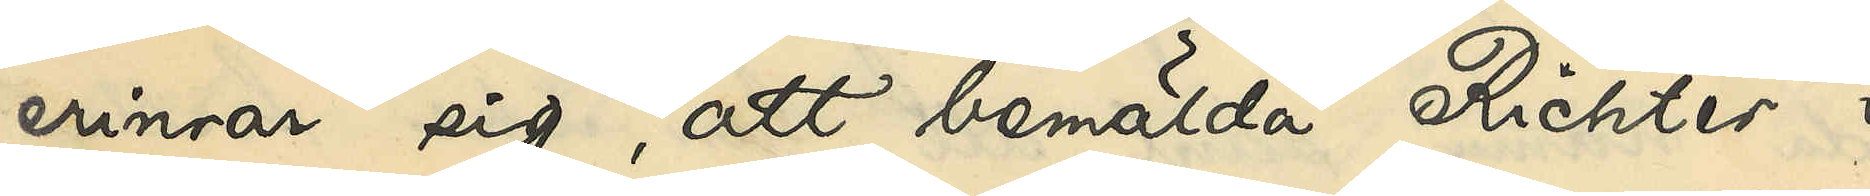erinrar sig, att bemälda Richter i
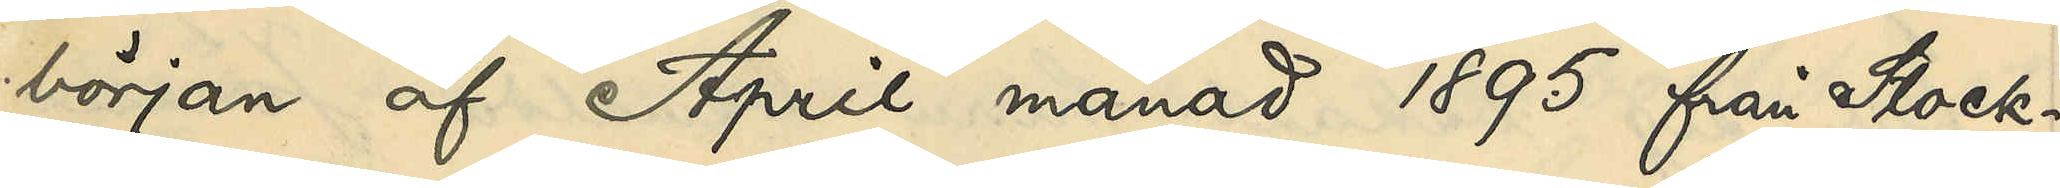början af April månad 1895 från Stock¬
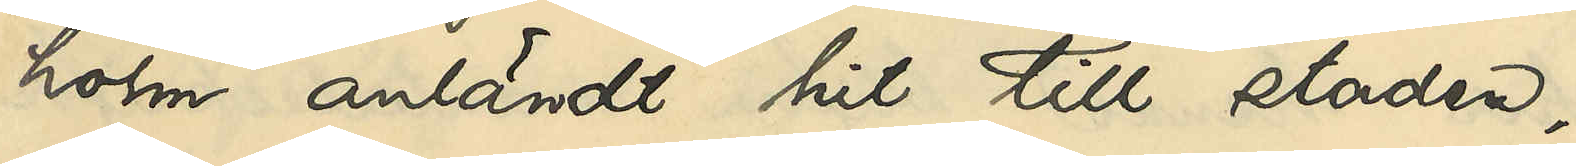holm anländt hit till staden
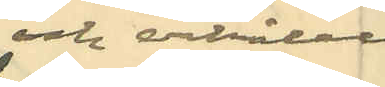och erhållit
